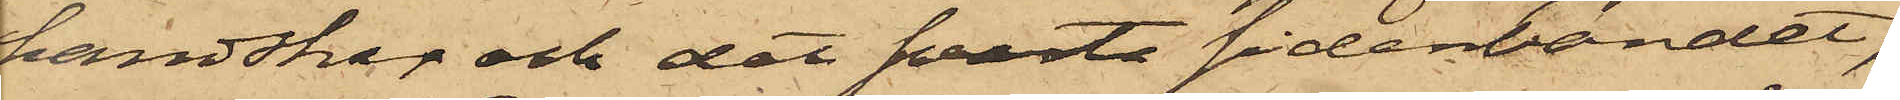handskar och det svarta sidenbandet;
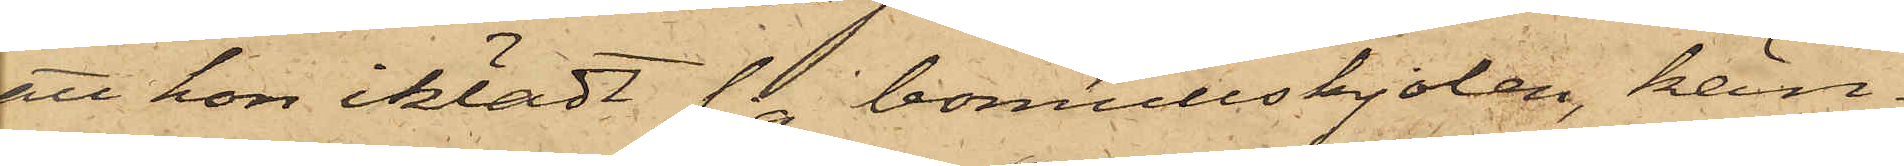att hon iklädt sig bomullskjolen, kän¬
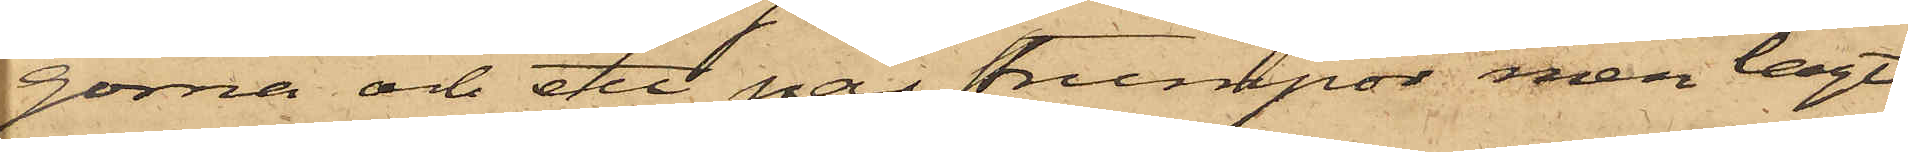gorna och ett par strumpor, men lagt
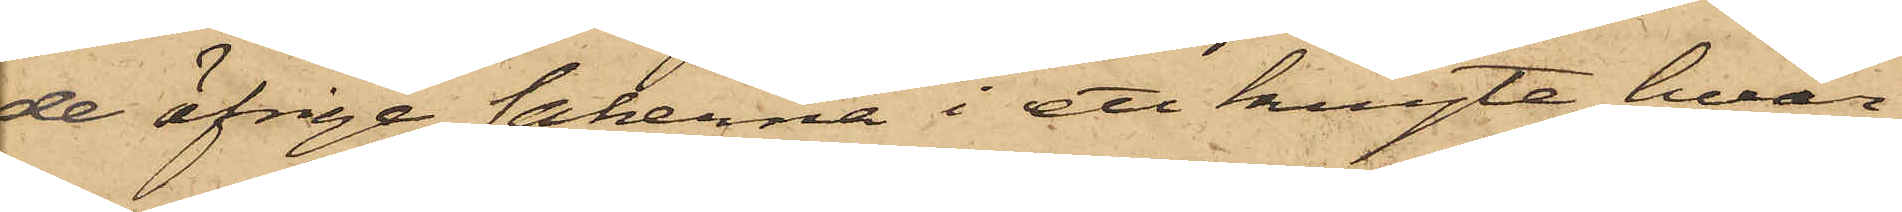de öfrige sakerna i ett knyte, hvar¬
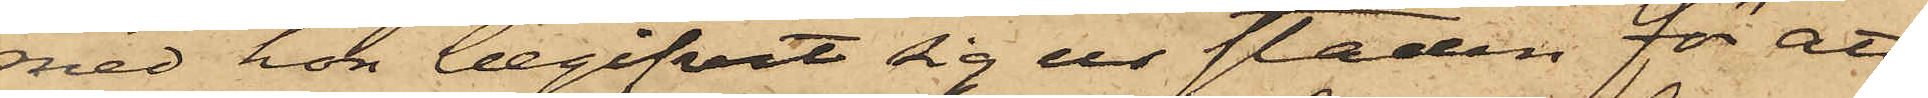med hon begifvit sig ur staden för att
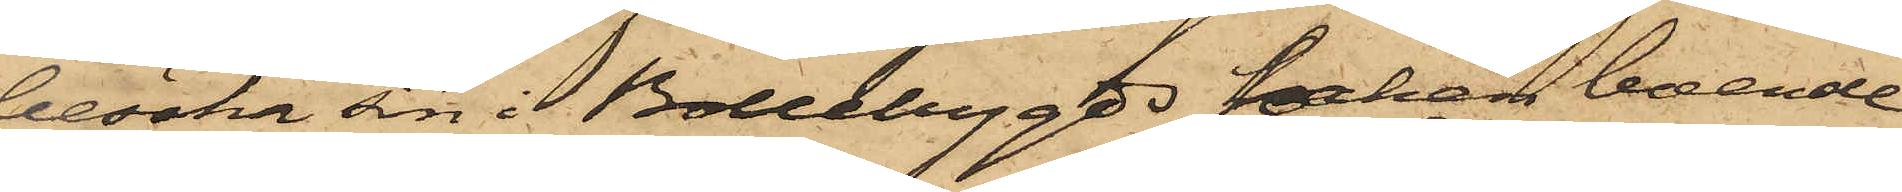besöka sin i Bollebygds Socken boende
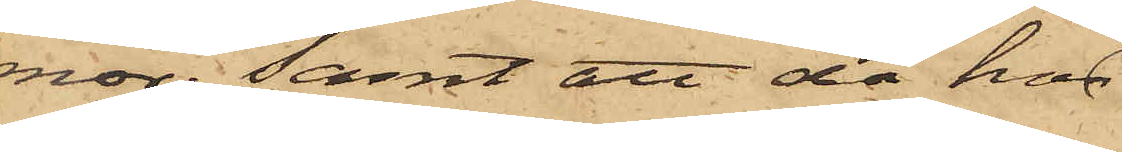mor; samt att då hon
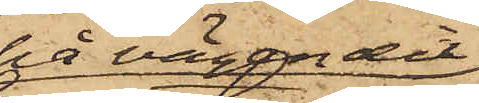på vägen dit
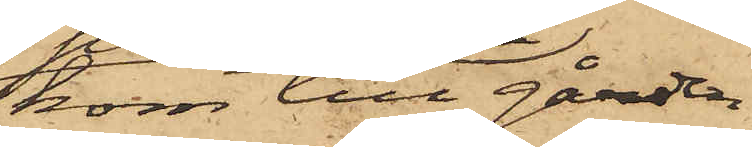kom till gården
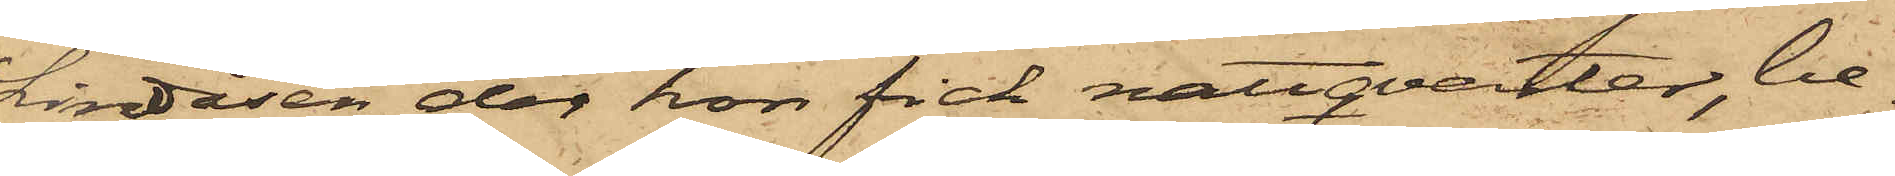Lindåsen, der hon fick nattqvarter, be¬
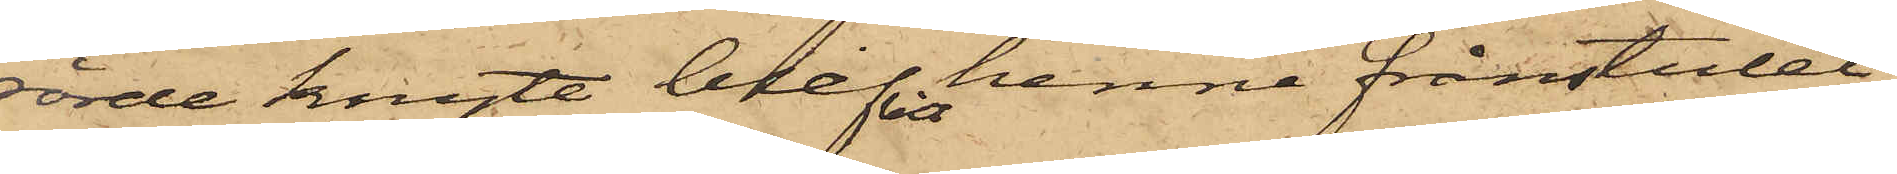rörde knyte, blifvit henne frånstulet,
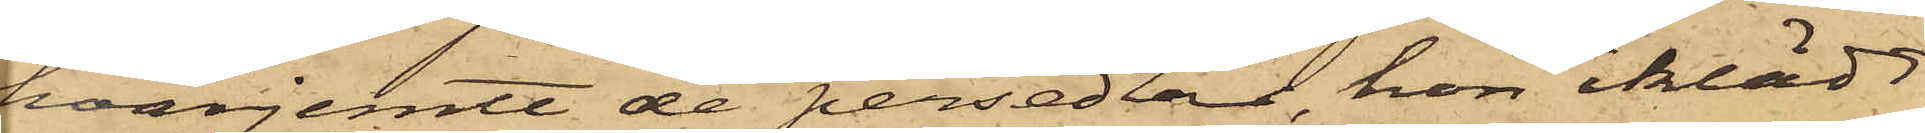härjemte de persedlar, hon iklädt
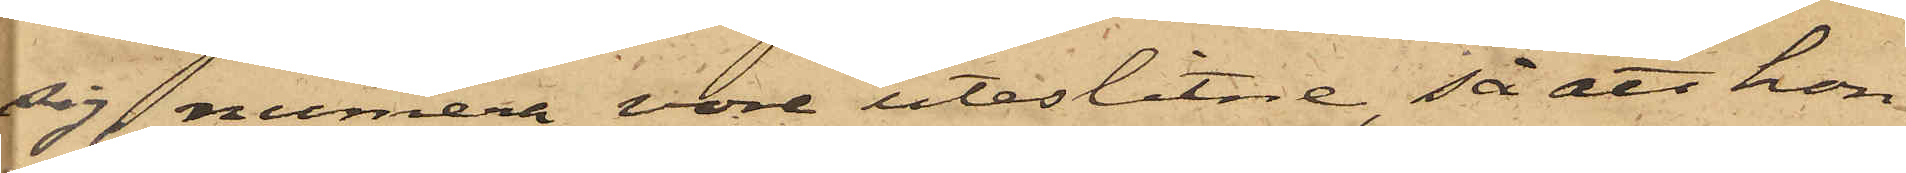sig, numera vore uteslitne, så att hon
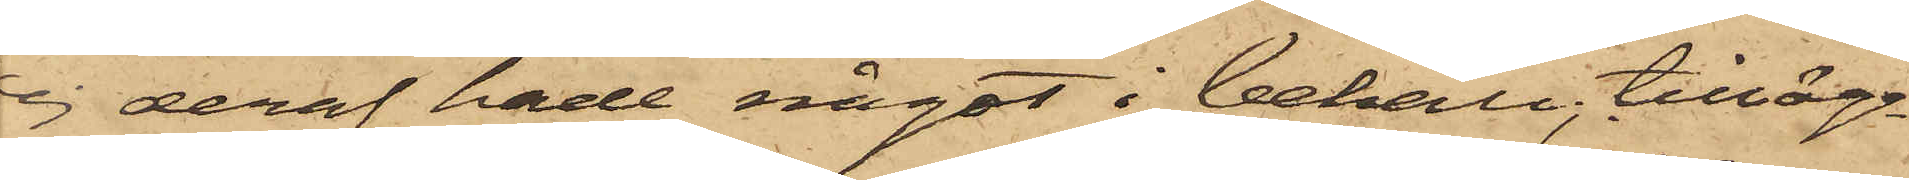ej deraf hade något i behåll, tilläg¬
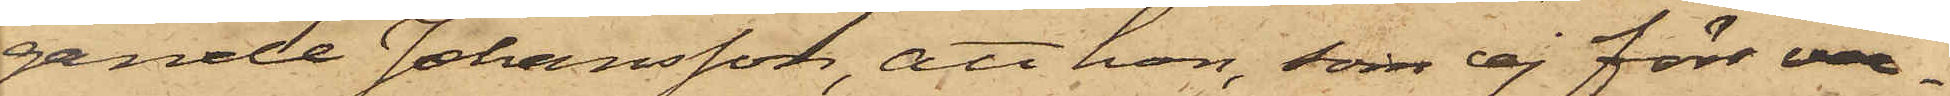gande Johansson, att hon, som ej förr var¬
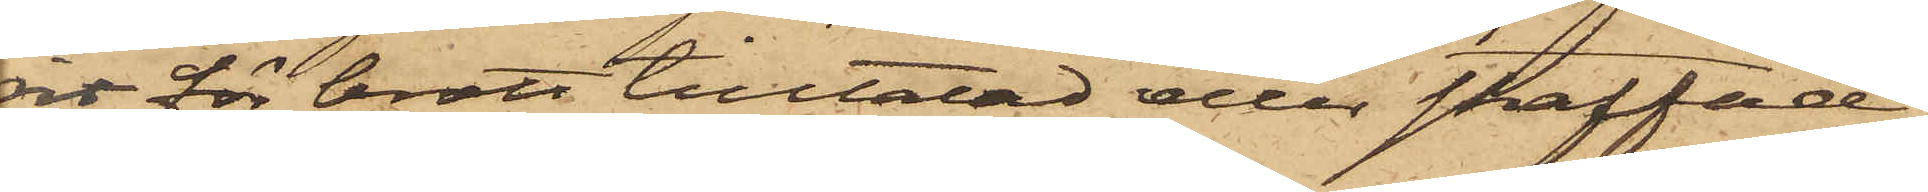it för brott tilltalad eller straffad,
